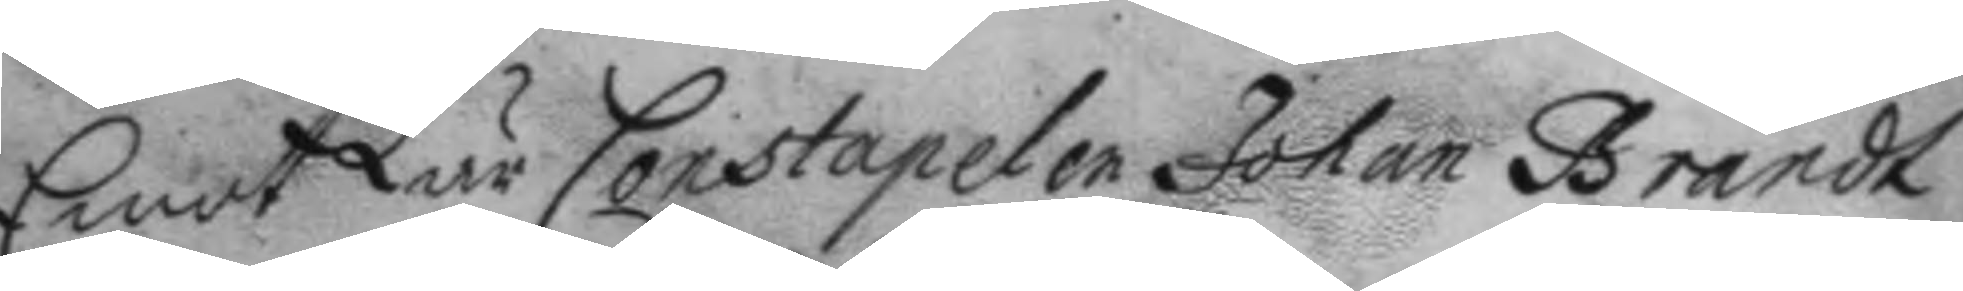Emot Lär Constapelen Johan Brandt
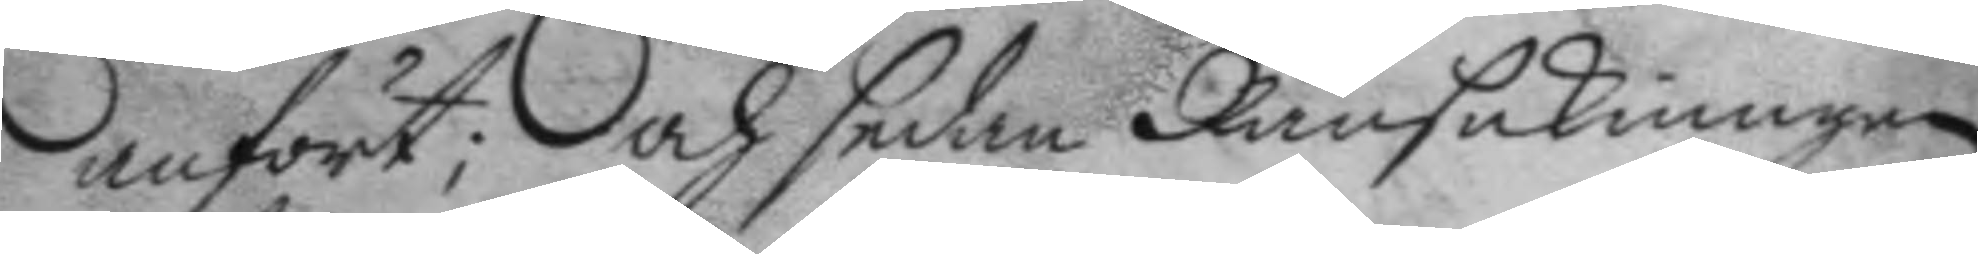anfört; och sedan Ransakningen
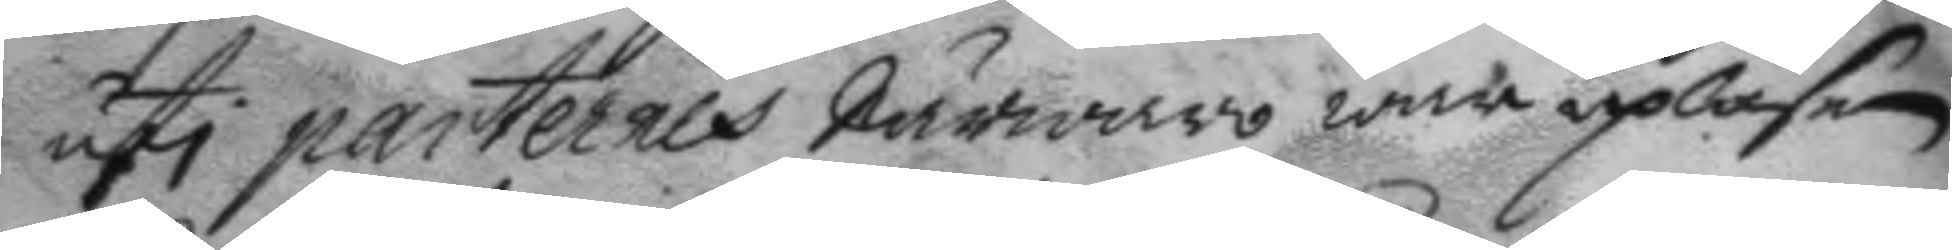uti partenes närwaro war upläsen
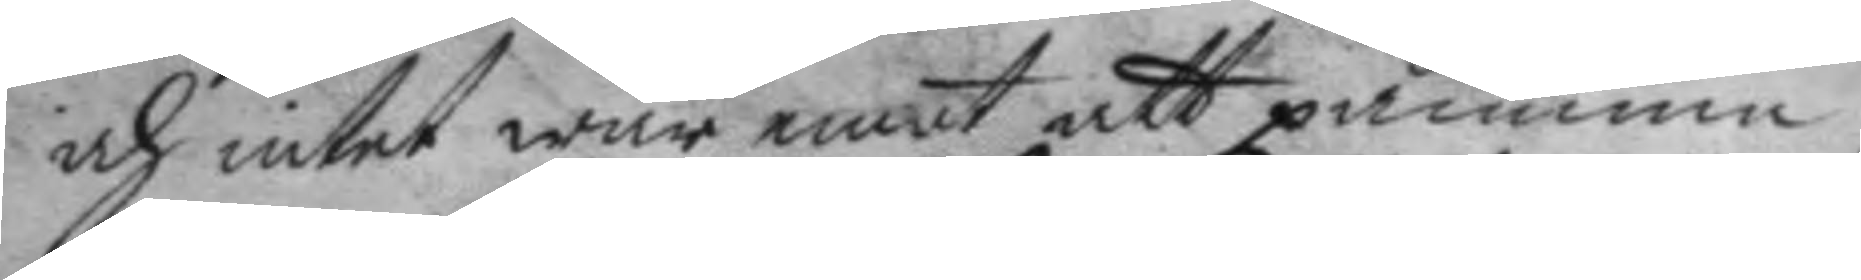och intet war emot att påminna;
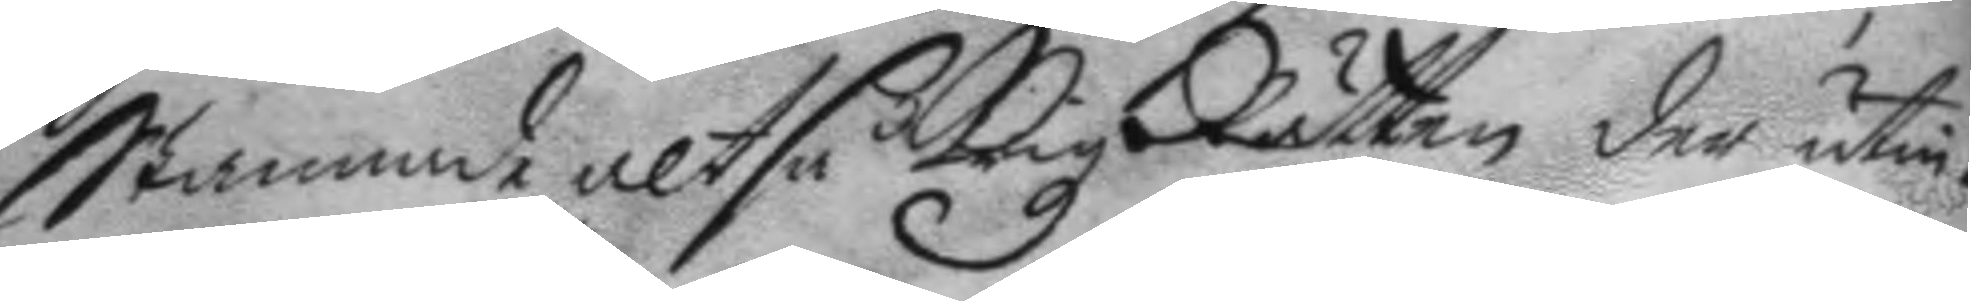Stannade altså Krigz Rätten der utin¬
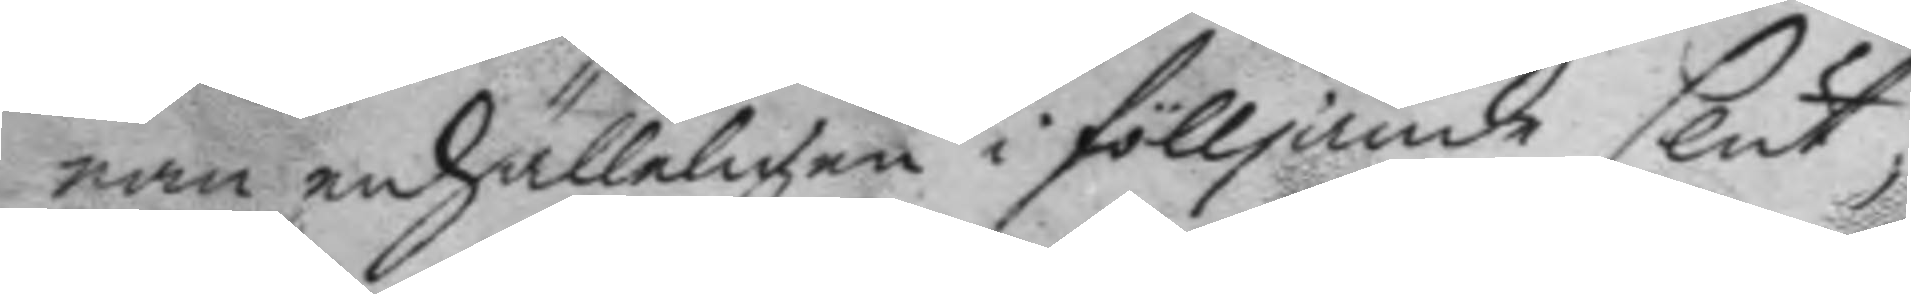nan enhälleligen i fölljande slut,
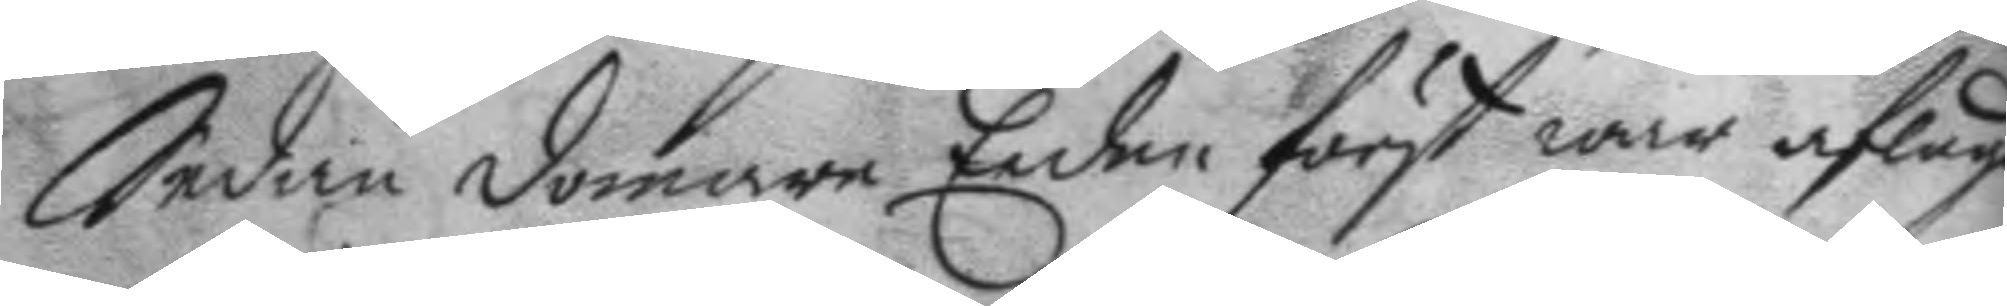Sedan domare Eeden först war aflagd
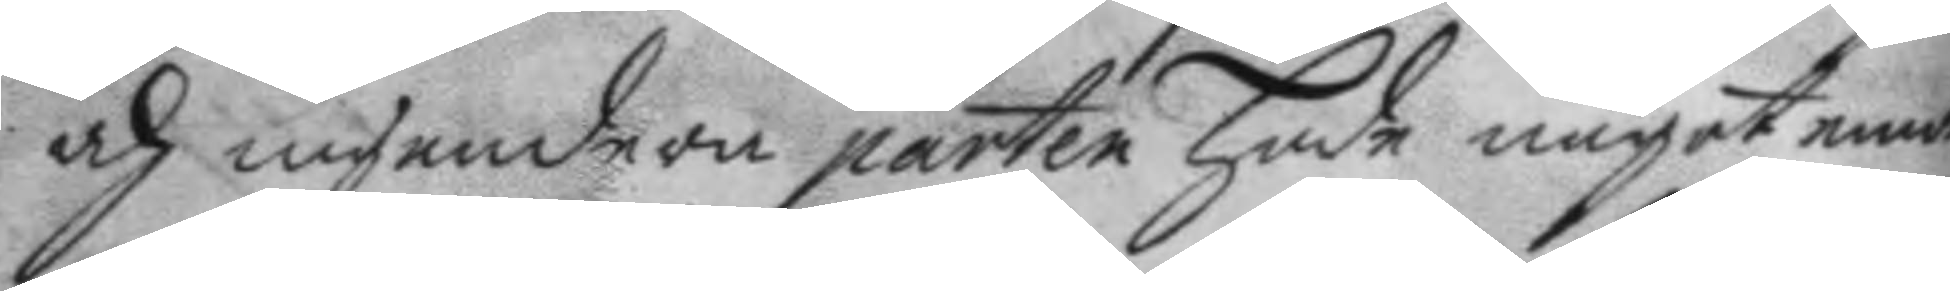och ingendera parten hade något emot
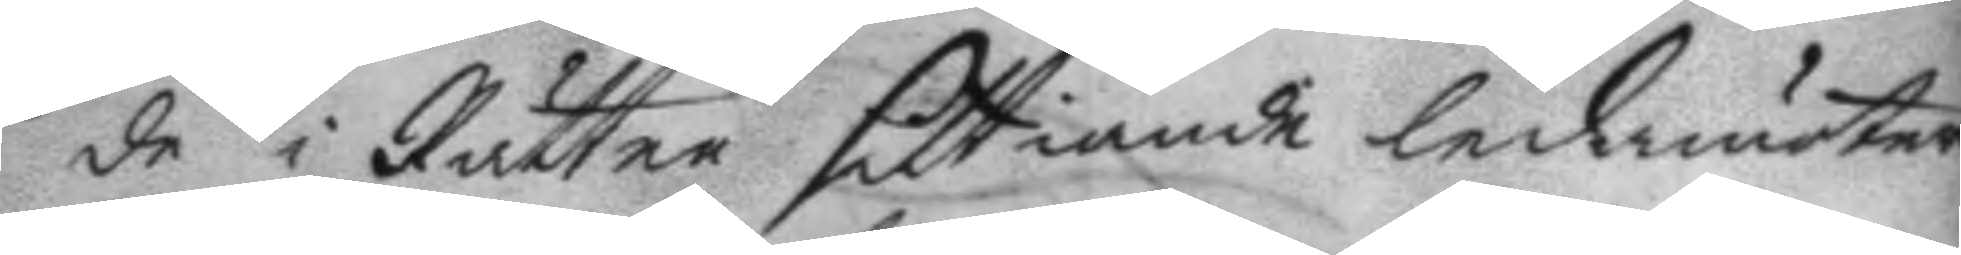de i Rätten sittiande ledamöter
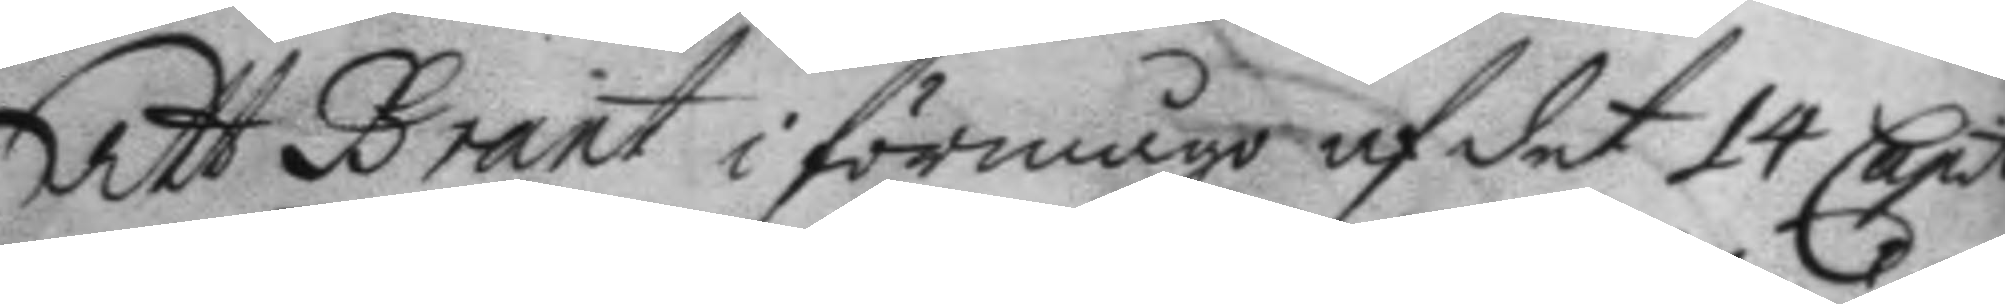Att Brant i förmågo af det 14 Capit.
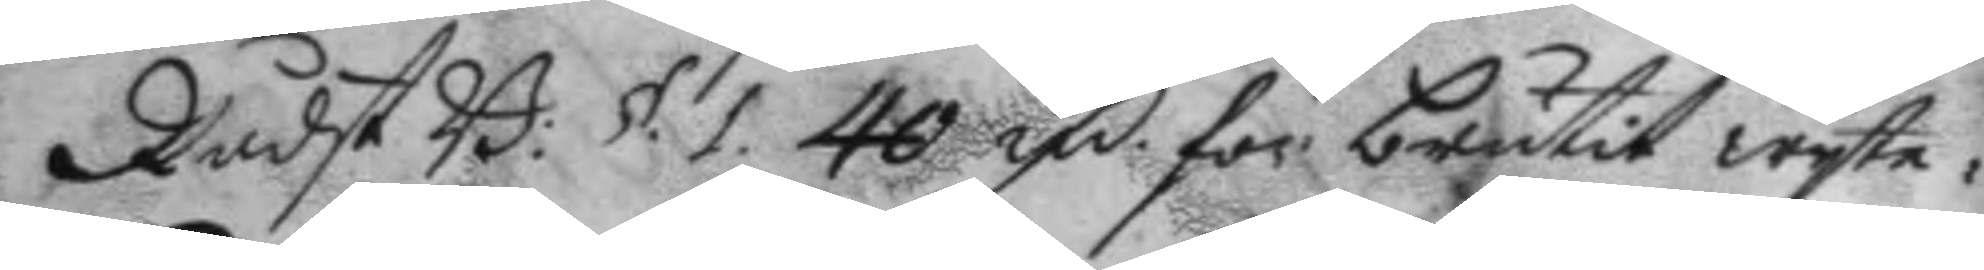Rådst B: §.1. 40 fm för brutit wyte:
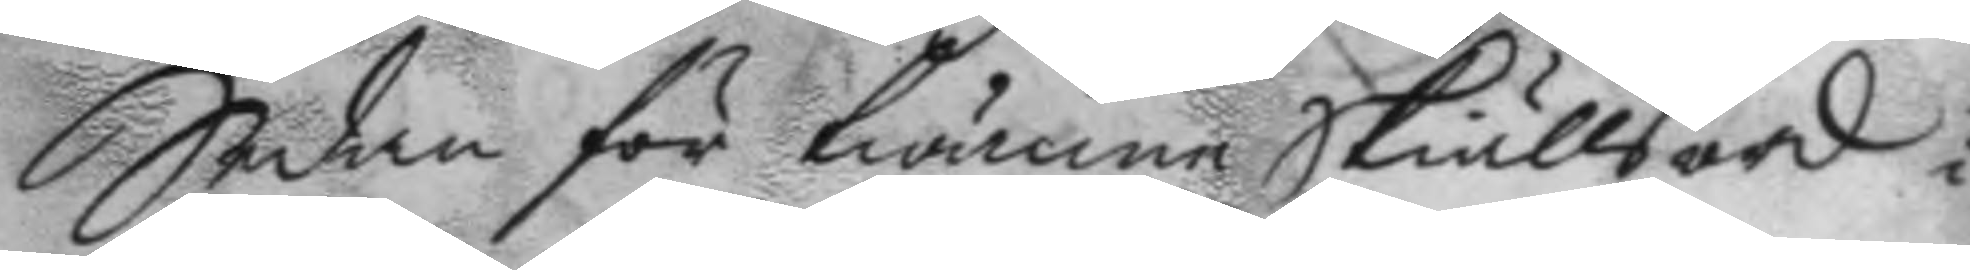Sedan för twänne Skiällsord i
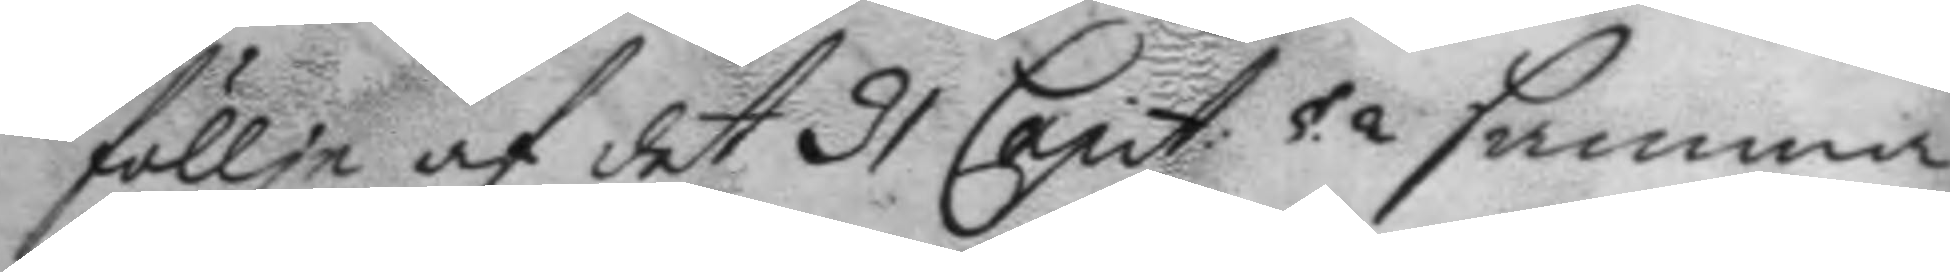föllje af det 91 Capit: §. 2 samma
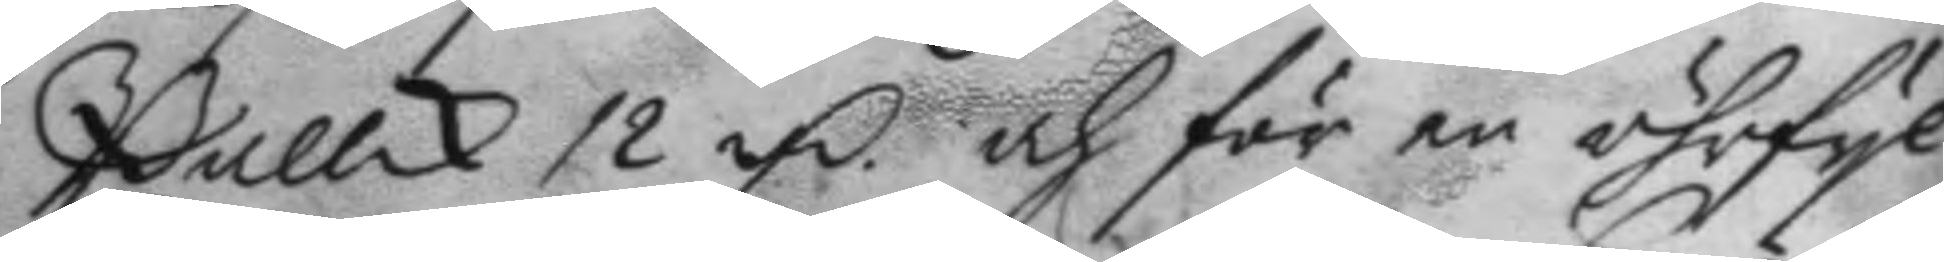Ballck 12 fm och för en öhrfyl
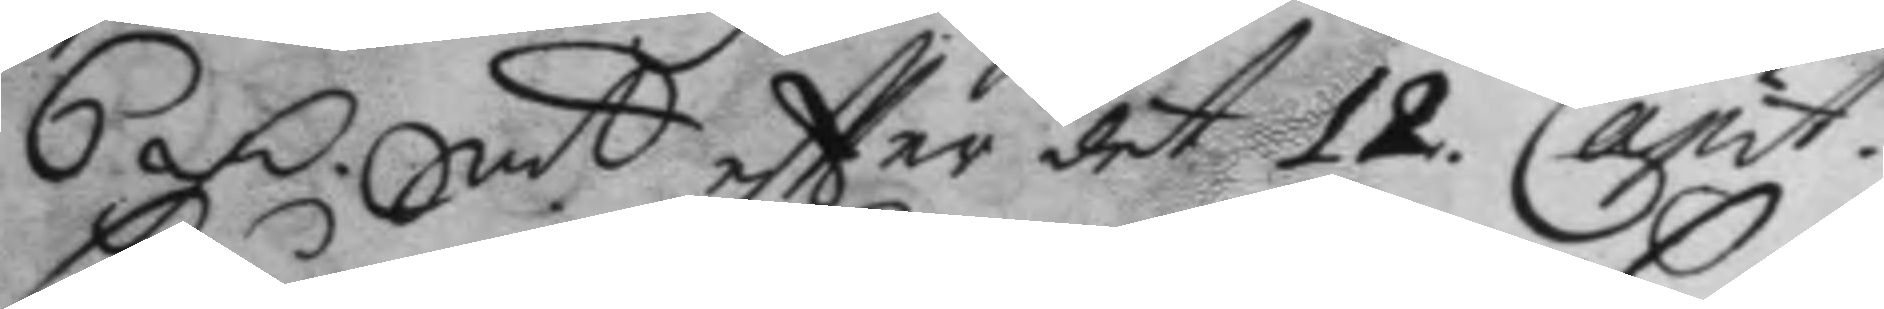6 fm. Sm.t eftter det 12. Capit.
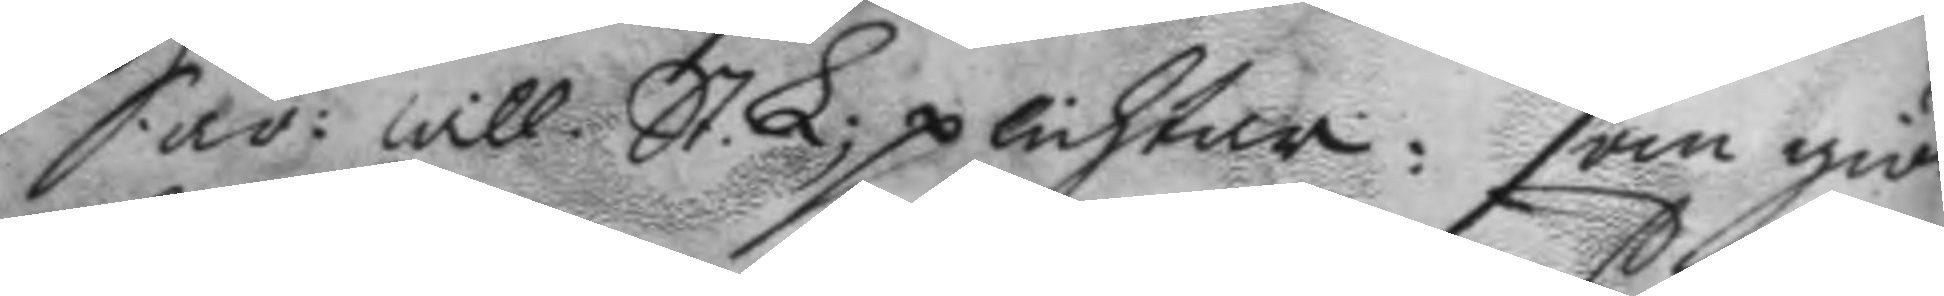Sår: will. St. L; plichtna: som giör
